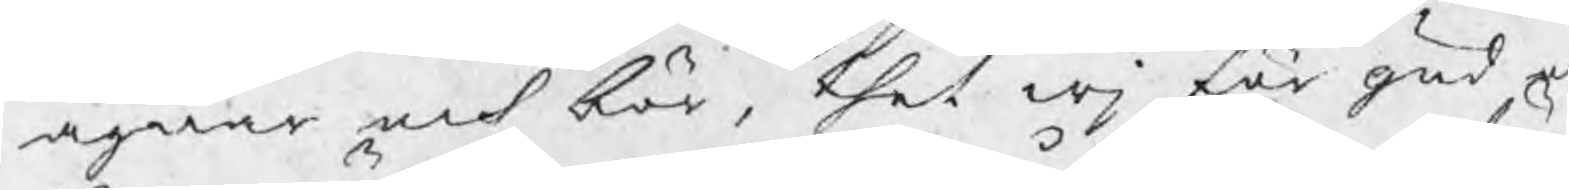ägnar och bör, thet wj för gud e
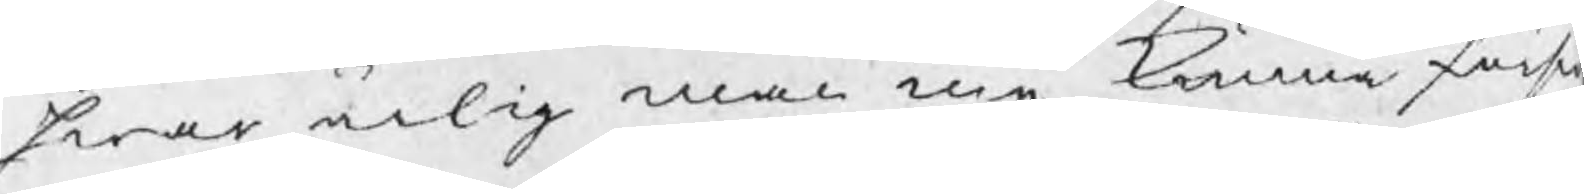hwar ärlig man må kunna försw
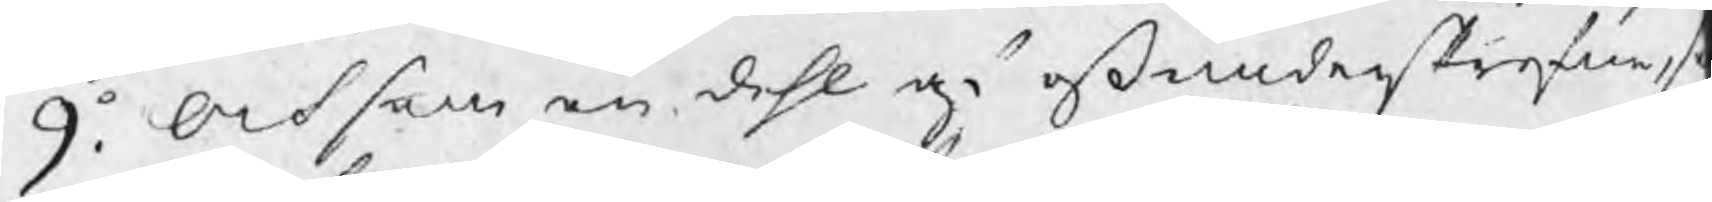9o. Och som en dehl på oß underskrefne, s
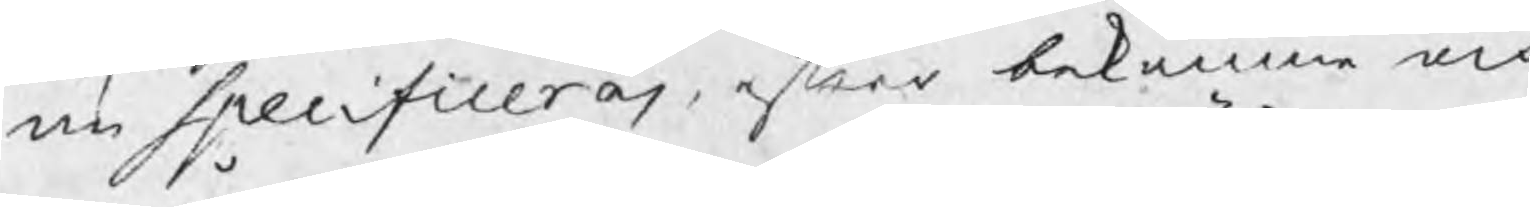nu Specificeras, efter bekomne och
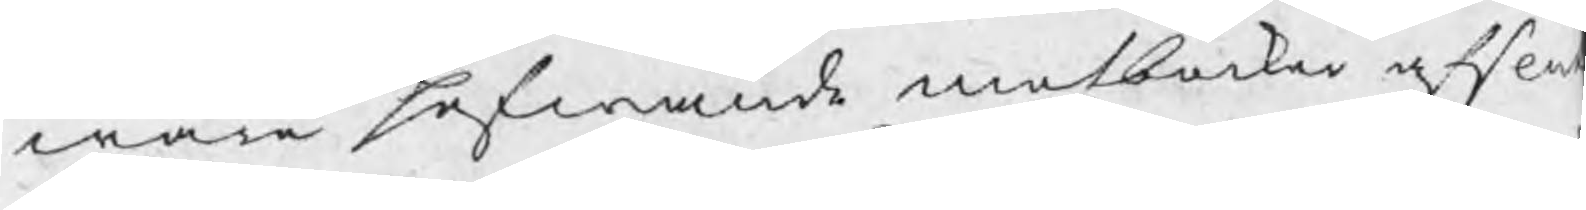wåre hafwande motböcker afslu
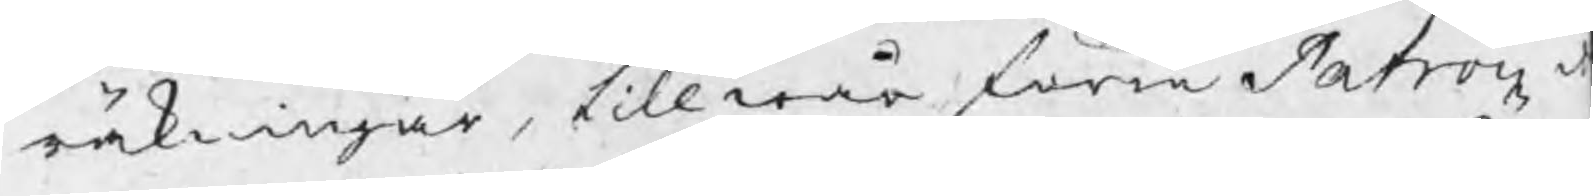räkningar, till wår förre Patron d
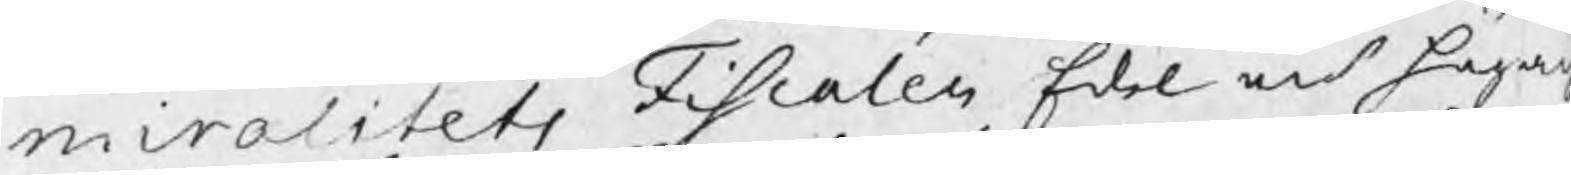miralitets Fiscalen Edel och höga
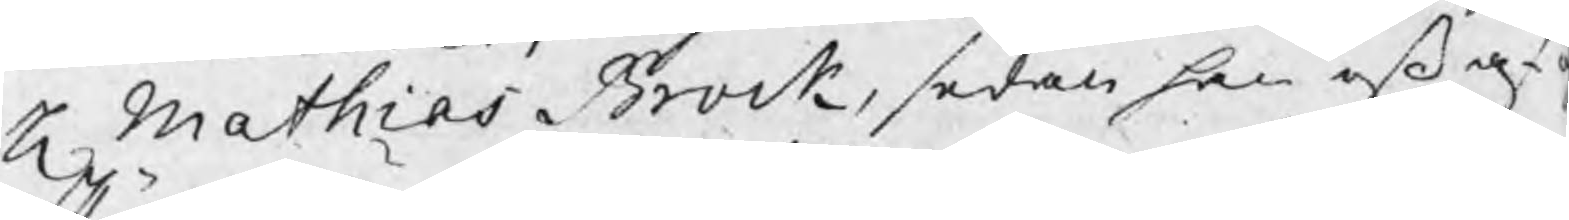Hr Mathias Brock, sedan han oß af
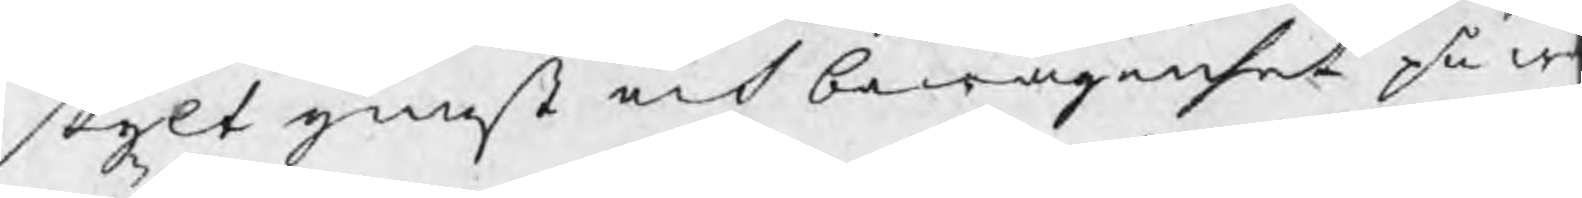skylt gunst och bewågenhet på w
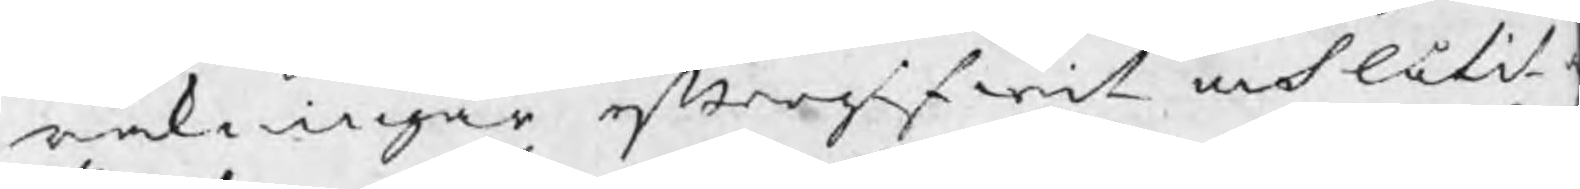räkningar eftergifwit och låtit
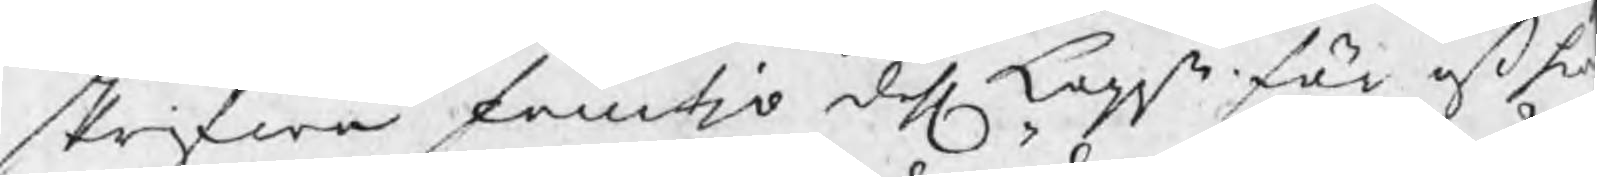skrifwa femtjo dahl koppt för oß hw
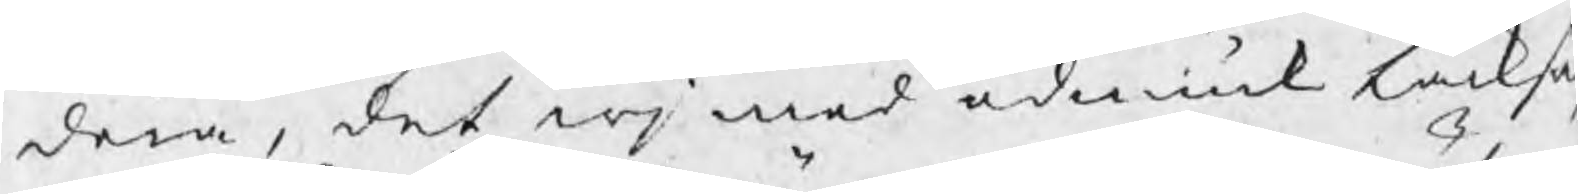dera, det wj med ödmiuk tacksa
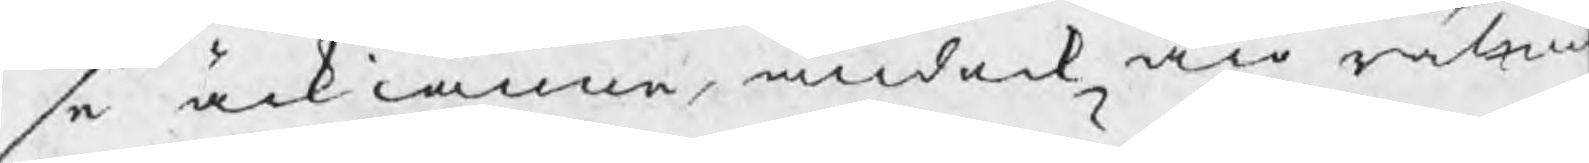se ärkiänna, ändock äro räln
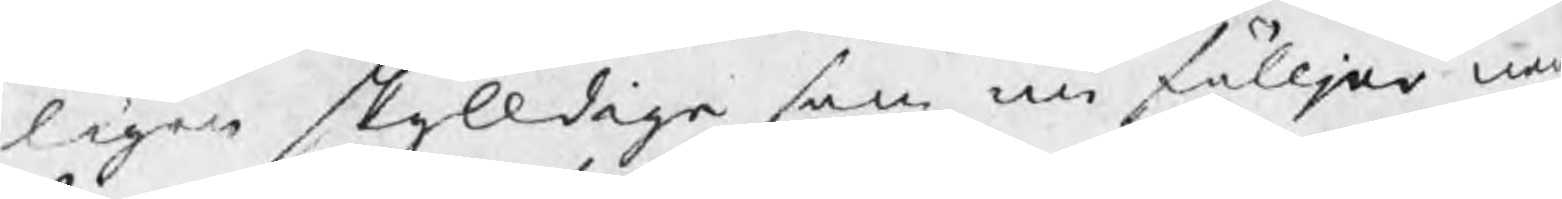ligen skyldige som nu fölljer ne
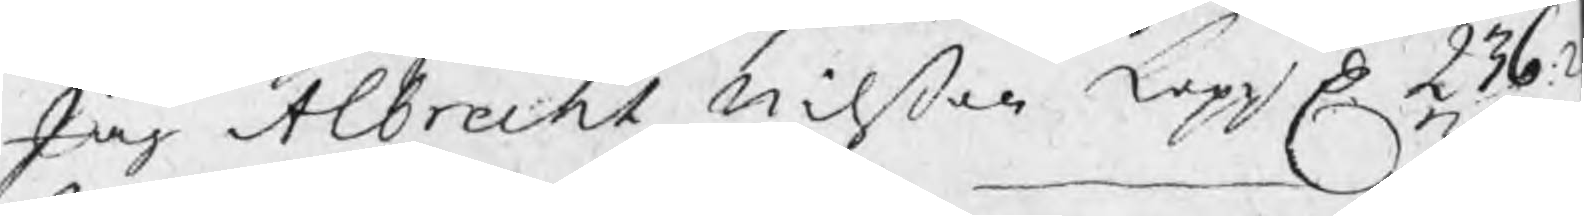Jag Albrecht Nilßon kopp D 236:2
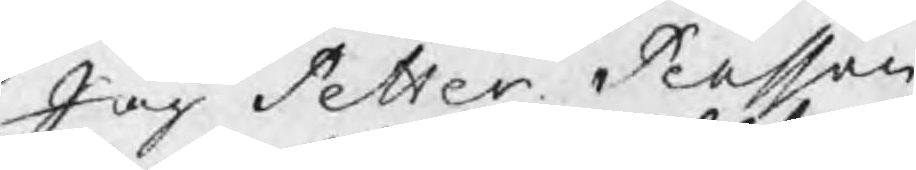Jag Petter Persson
